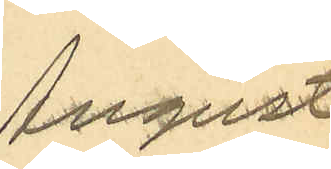August
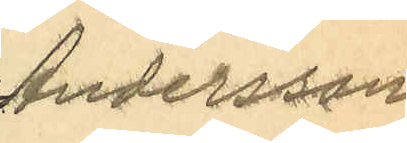Andersson
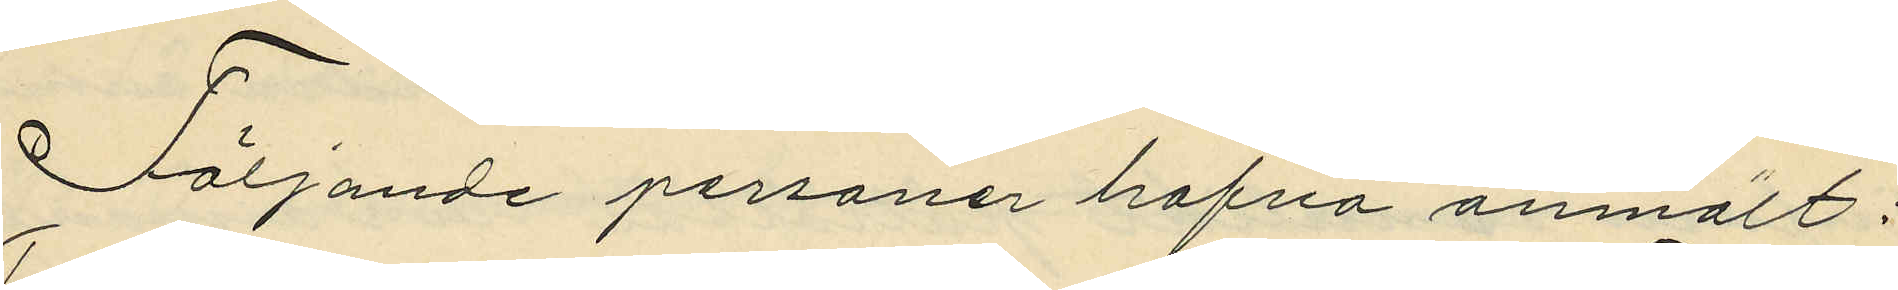Följander personer hafva anmält:
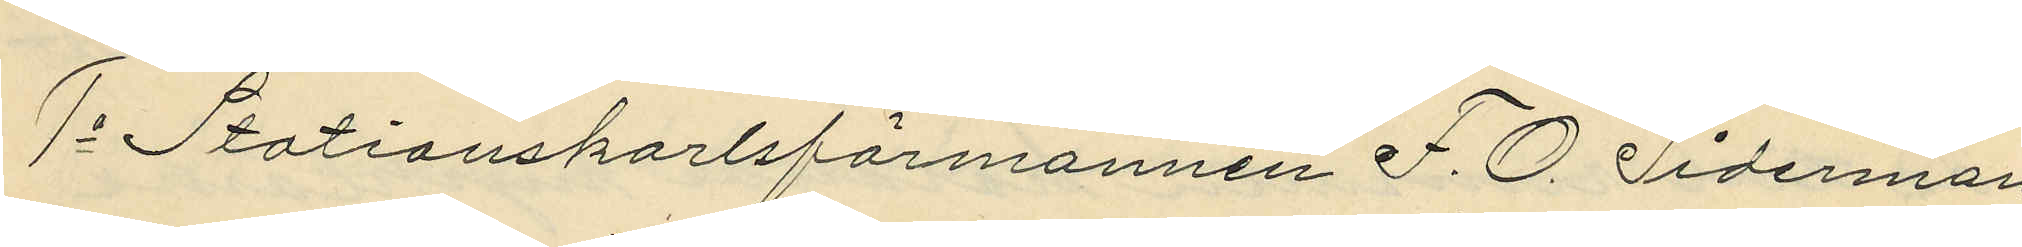1o Stationskarlsförmannen F. O. Tiderman,
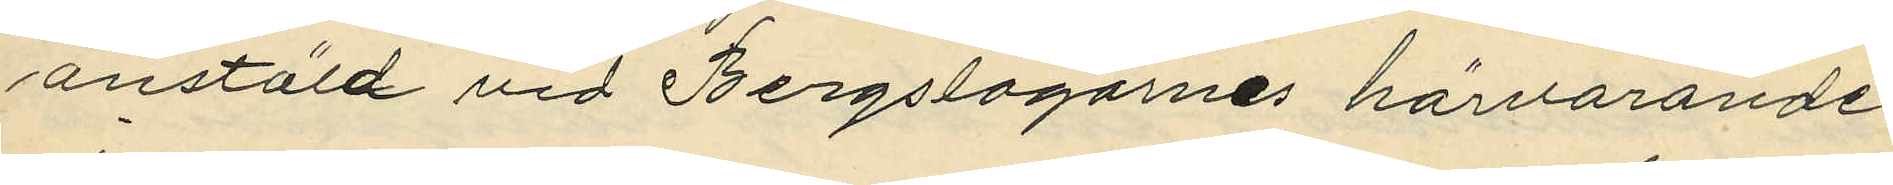anstäld vid Bergslagarnes härvarande
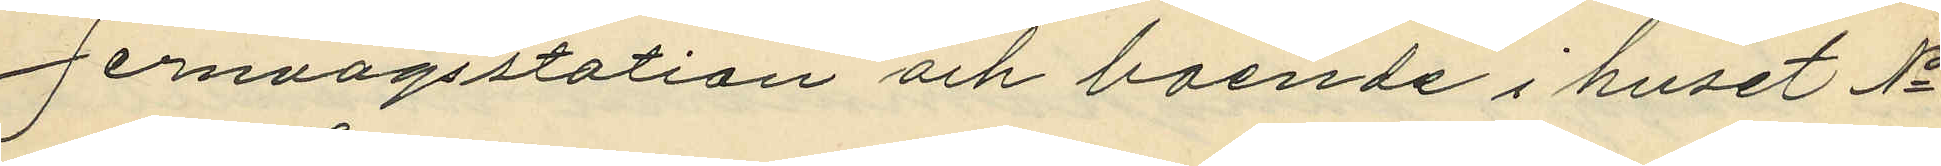Jernvägsstation och boende i huset No 10
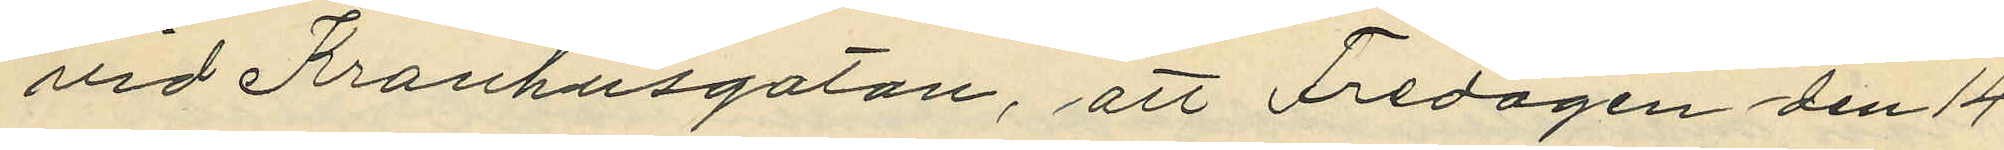vid Kronhusgatan, att Fredagen den 14
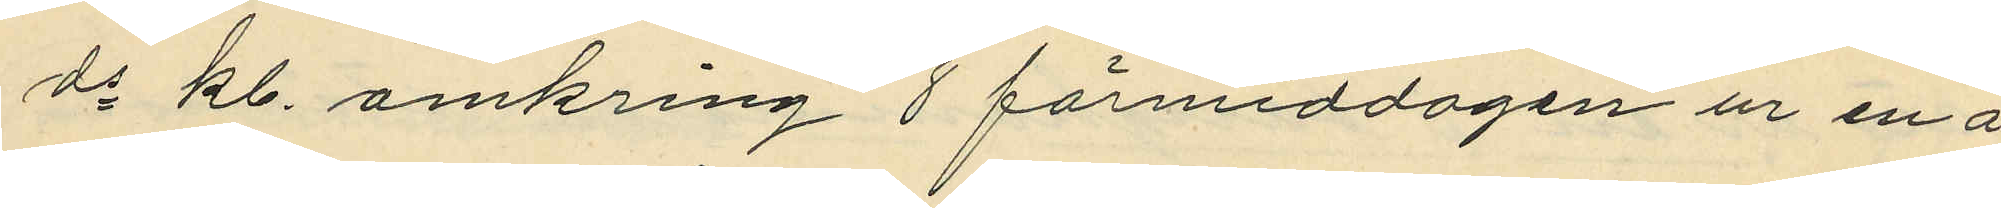ds kl. omkring 8 förmiddagen ur en å
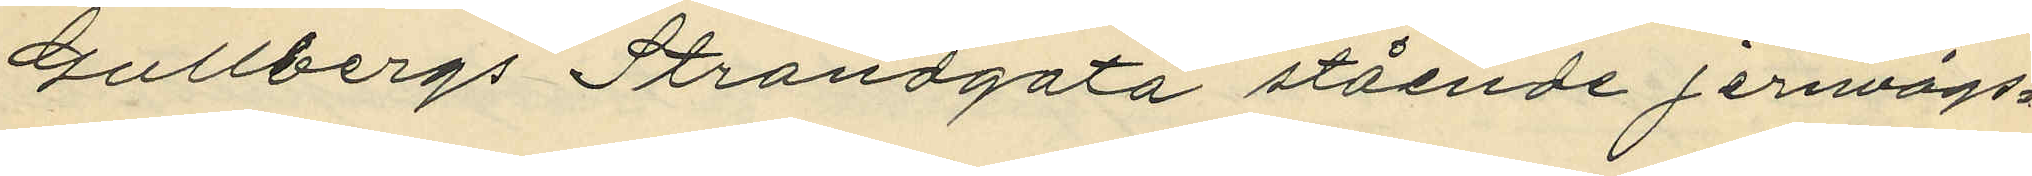Gullbergs Strandgata stående jernvägs
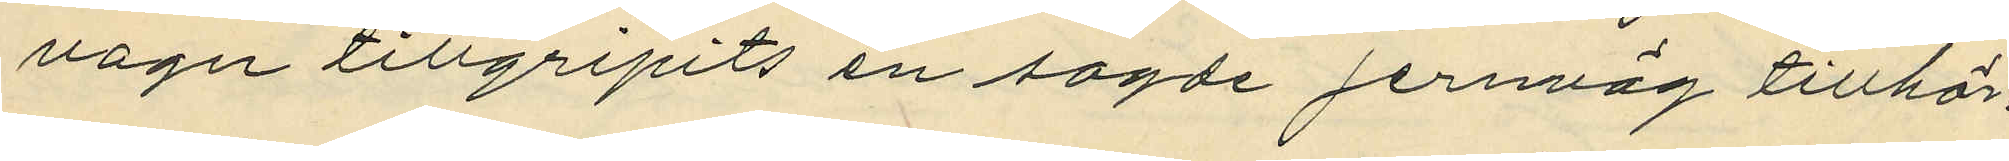vagn tillgripit en sagde jernväg tillhör¬
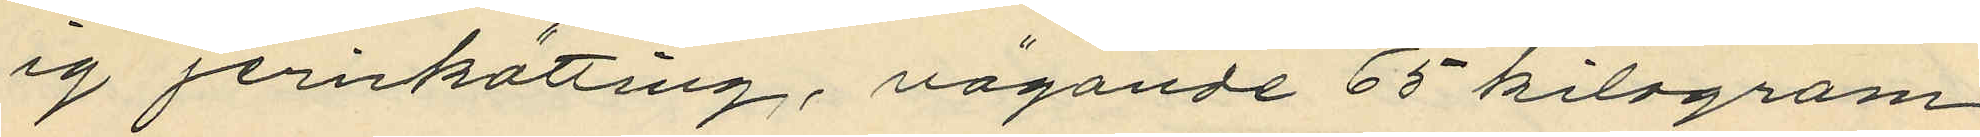ig jernkätting, vägande 65 kilogram
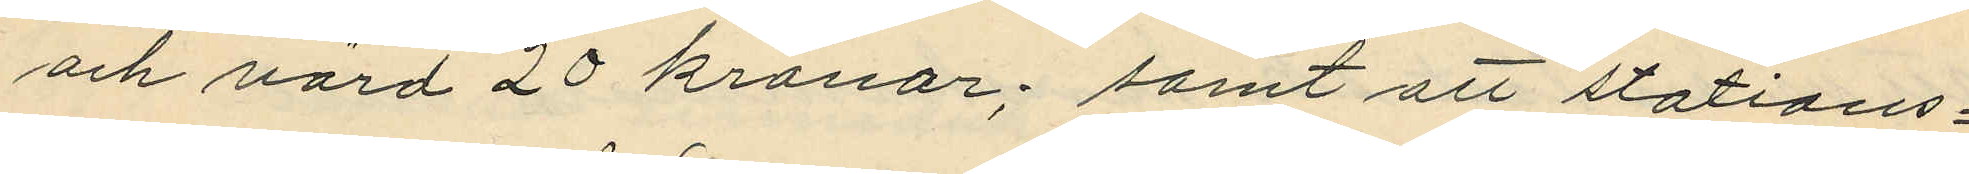och värd 20 kronor; samt att stations¬
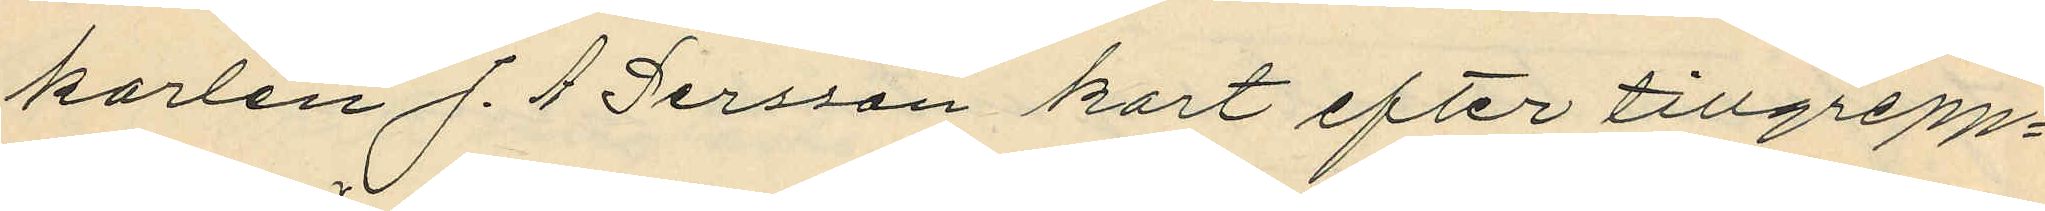karlen J. A Persson kort efter tillgrepp¬
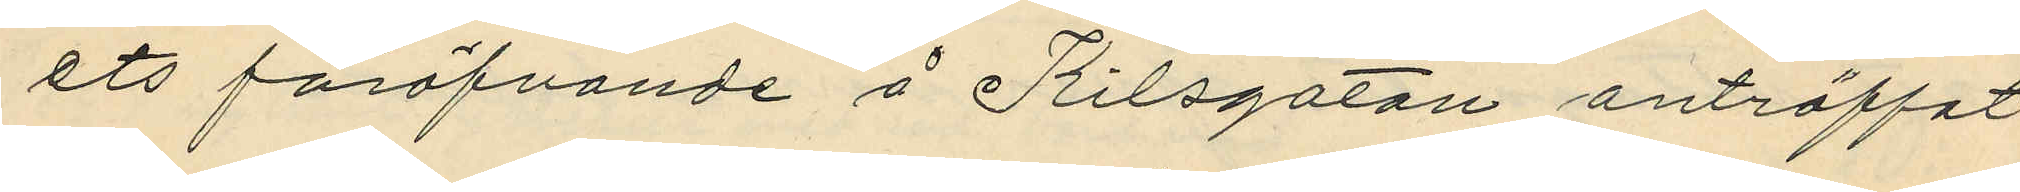ets föröfvande å Kilsgatan anträffat
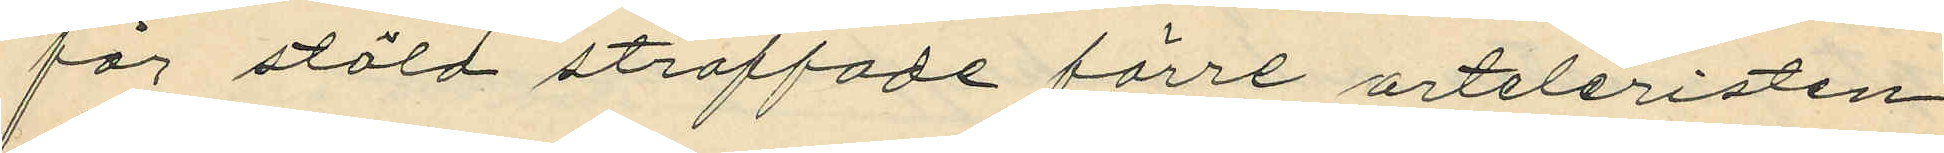för stöld straffade förre arteleristen
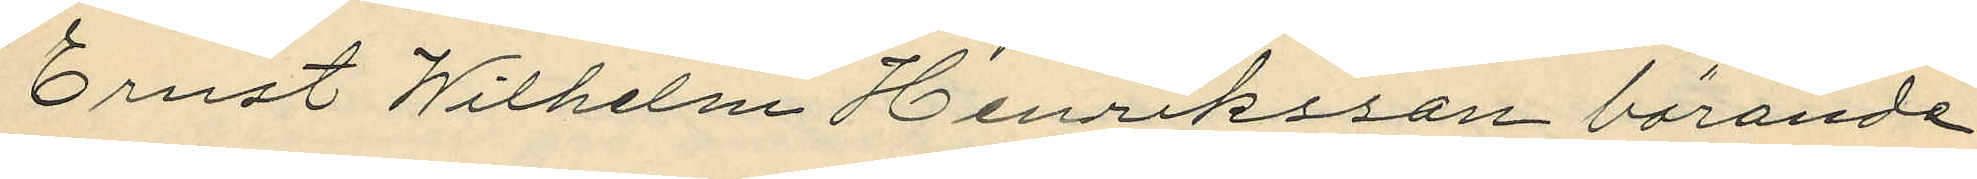Ernst Wilhelm Henriksson bärande
